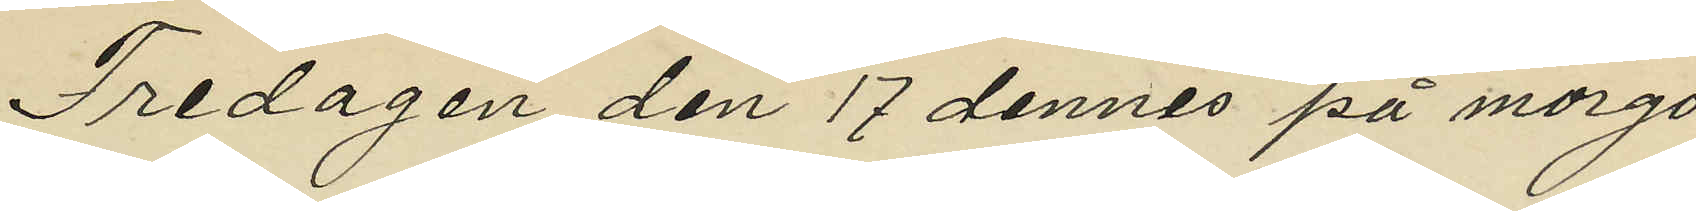Fredagen den 17 dennes på morgo¬
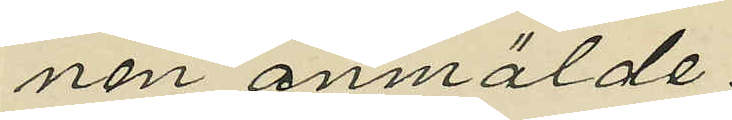nen anmälde:
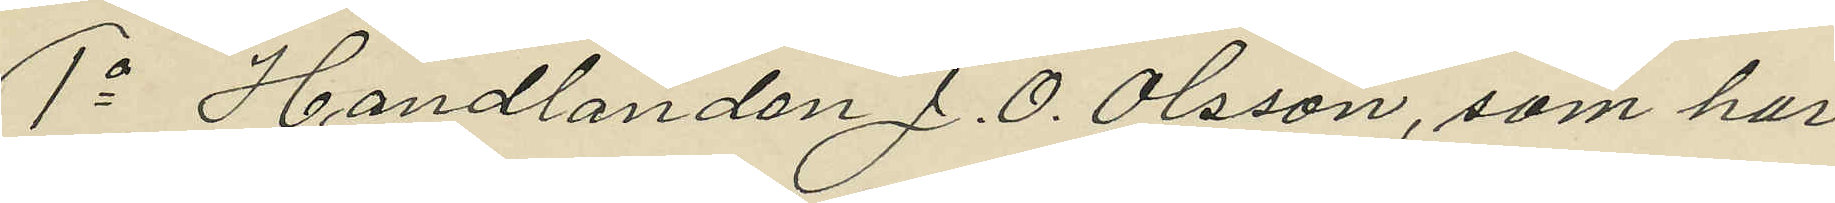1o Handlanden J. O. Olsson, som har
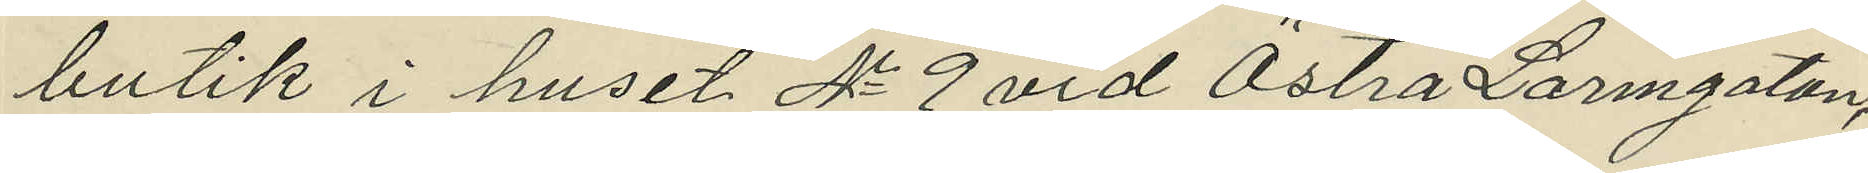butik i huset No 9 vid Östra Larmgatan,
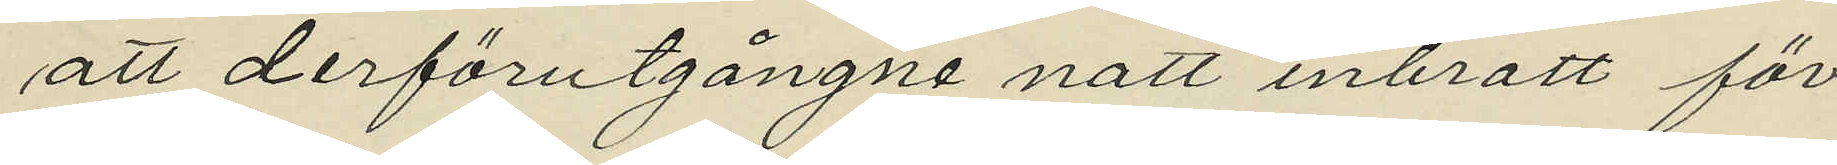att derförutgångne natt inbrott för¬
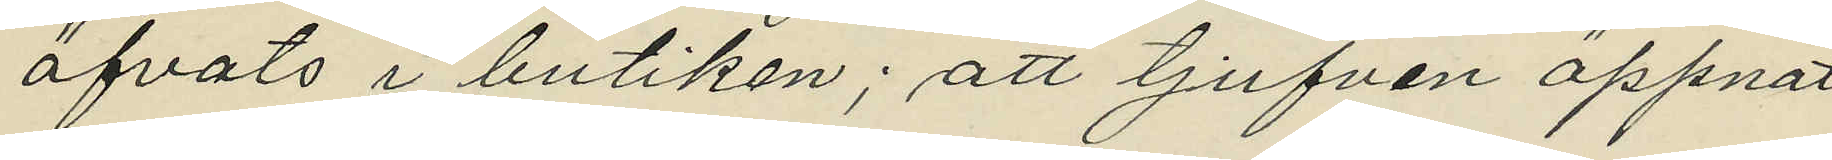öfvats i butiken; att tjufven öppnat
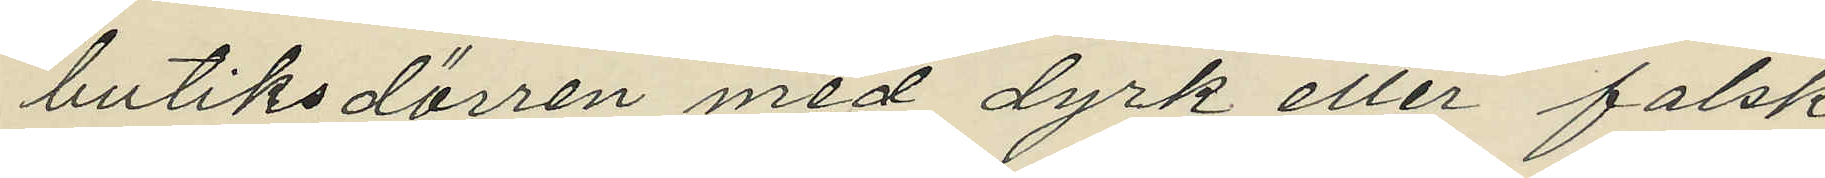butiksdörren med dyrk eller falsk
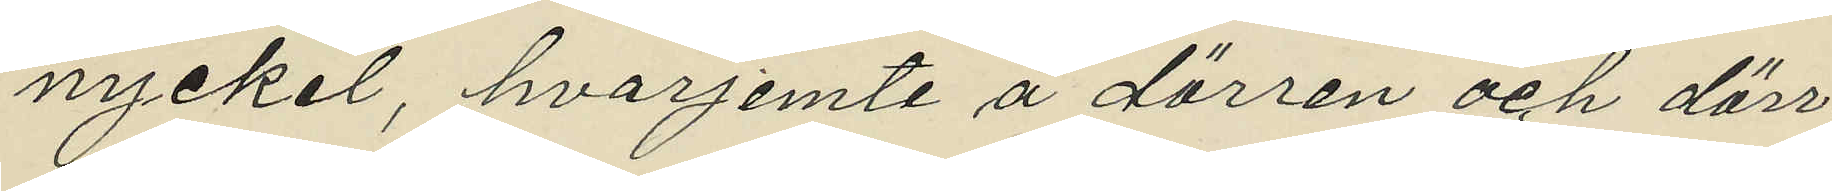nyckel, hvarjemte å dörren och dörr¬
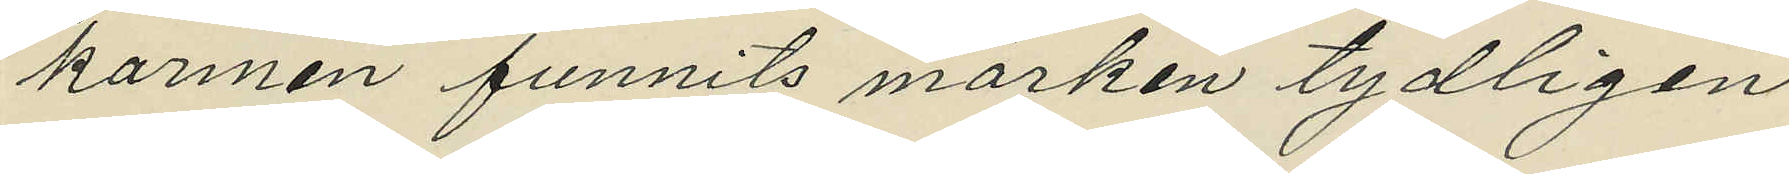karmen funnits märken tydligen
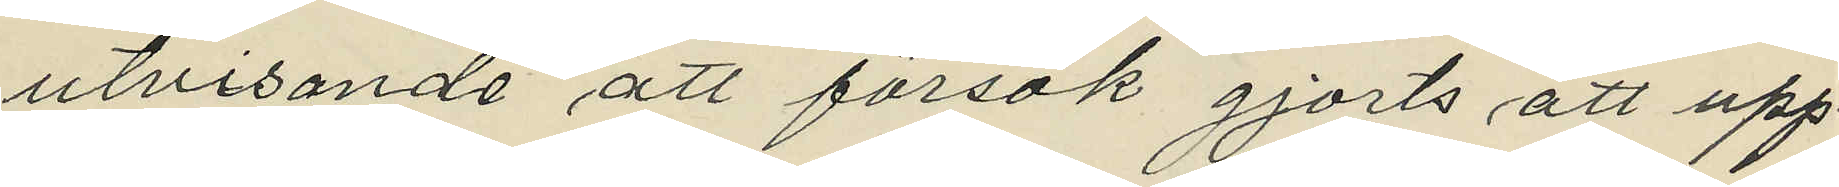utvisande att försök gjorts att upp¬
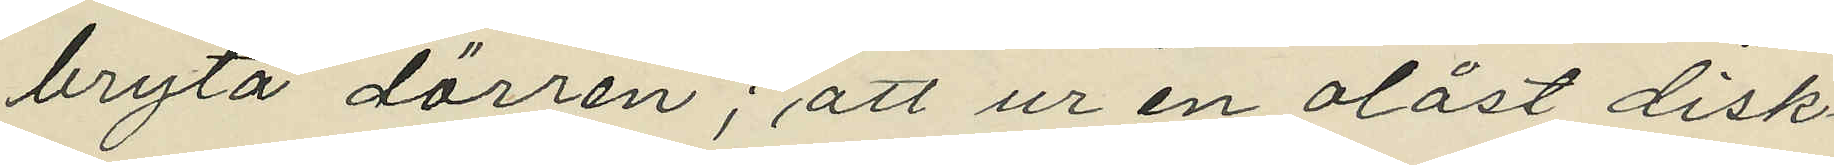bryta dörren; att ur en olåst disk¬
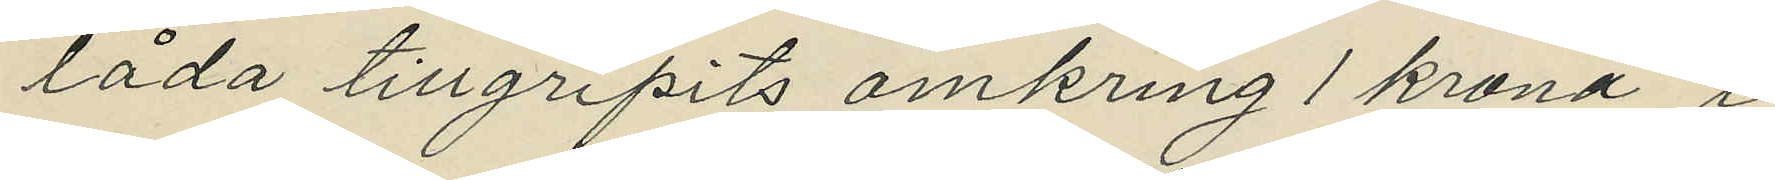låda tillgripits omkring 1 krona i
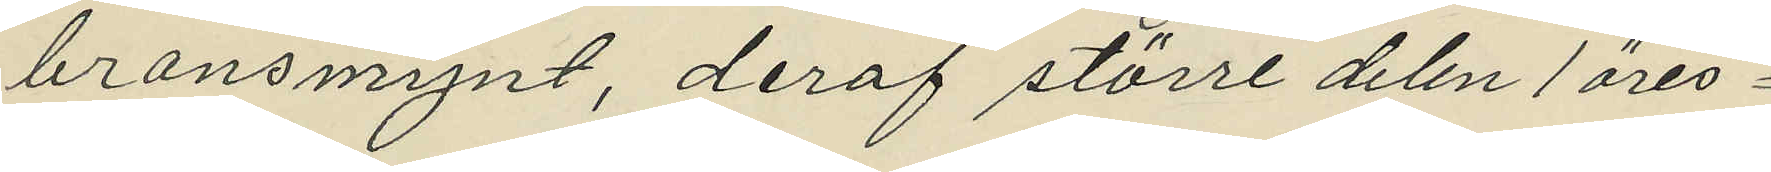bronsmynt, deraf större delen 1 öres¬
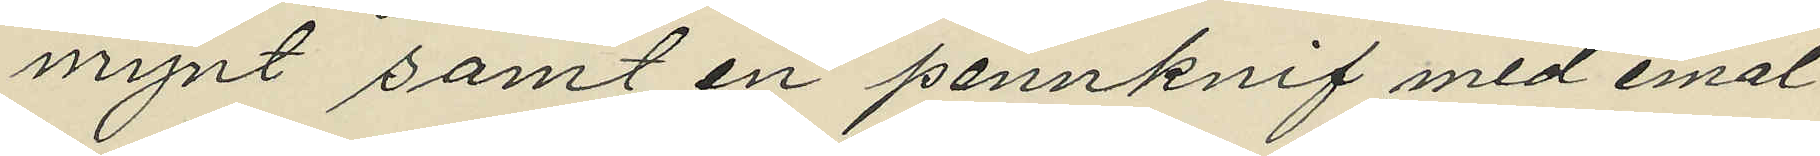mynt samt en pennknif med emal¬
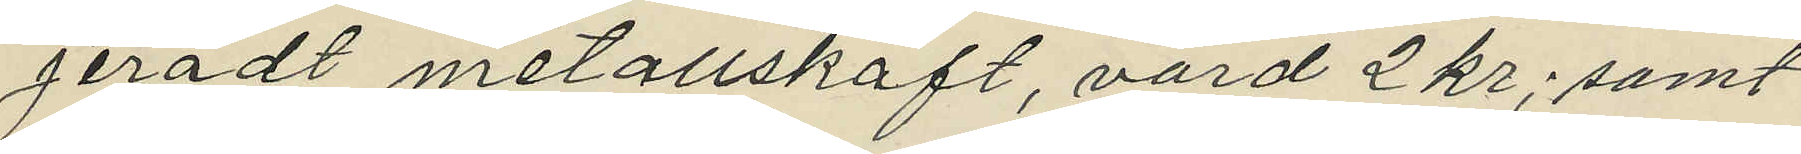jeradt metallskaft, värd 2 kr; samt
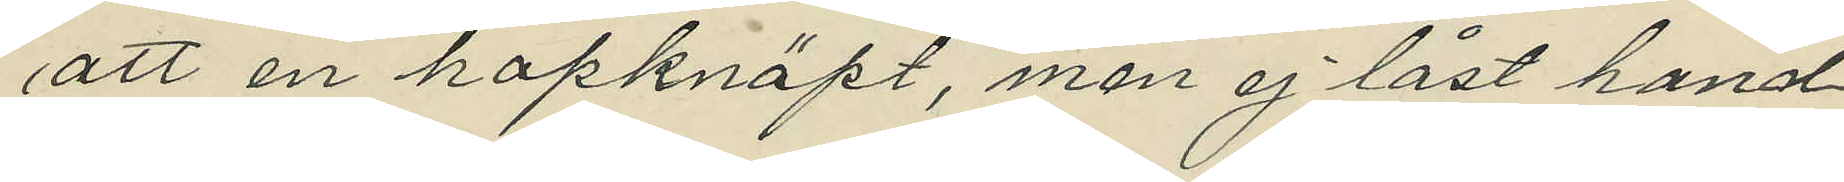att en hopknäpt, men ej låst hand¬
